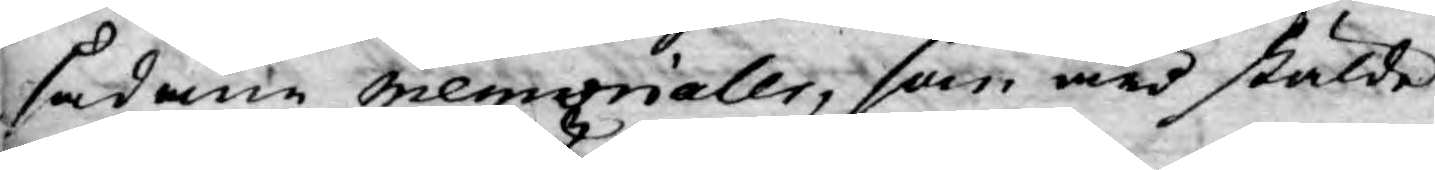sådane memorialer, som äro stälde
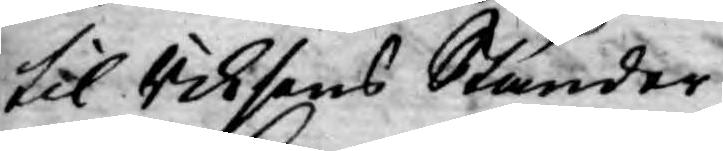til Riksens Ständer.
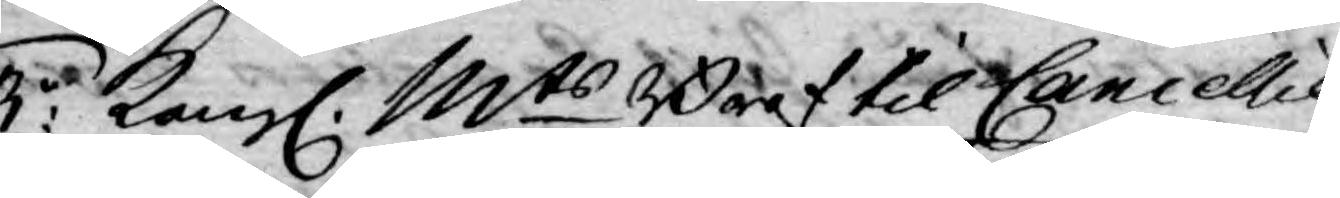3:o Kongl. Mts Bref til Cancellie¬
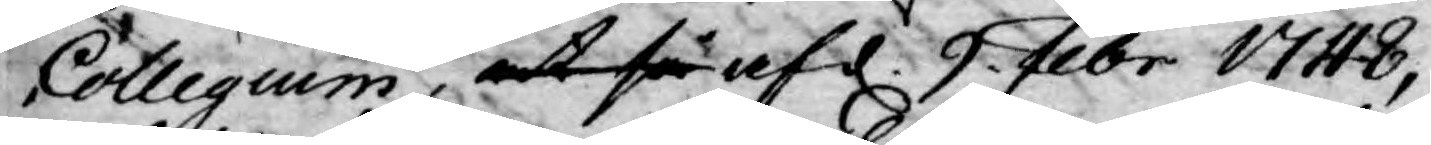Collegium, at så af d. 9 Febr 1748,
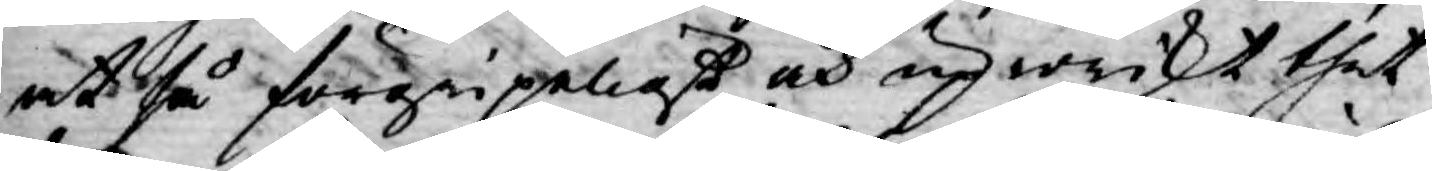at så förgripeligt och uproriskt thet
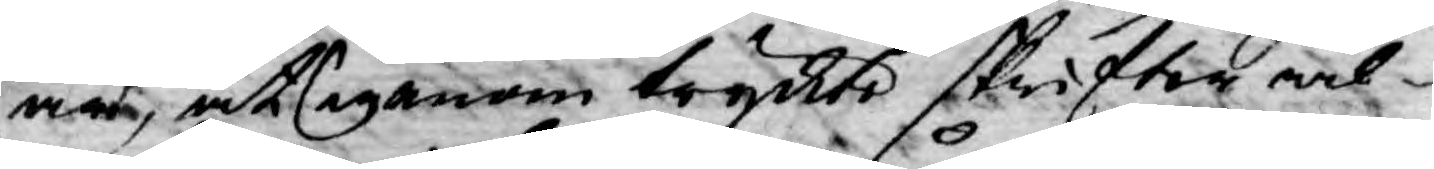är, at igenom tryckte skrifter wil¬
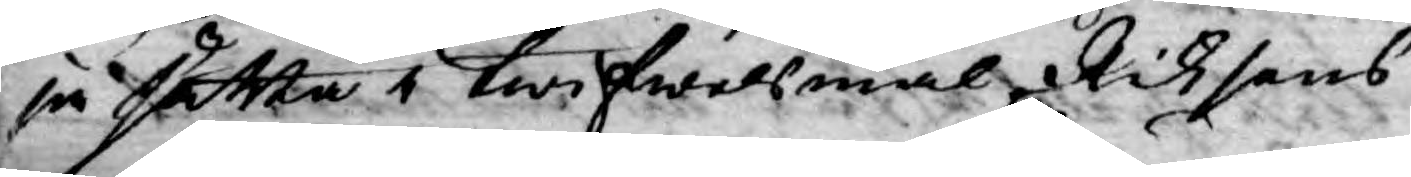ja sätta i twifwelsmål, Riksens
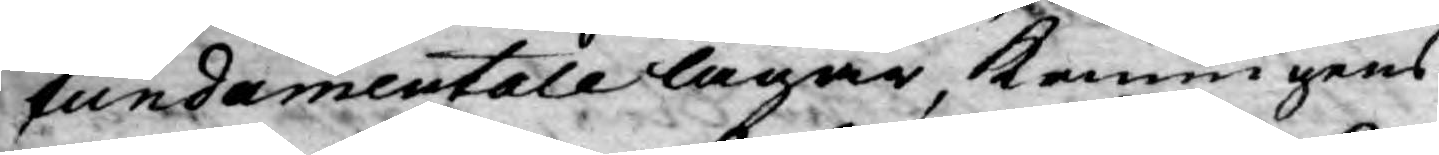fundamentale lagar, Konungens
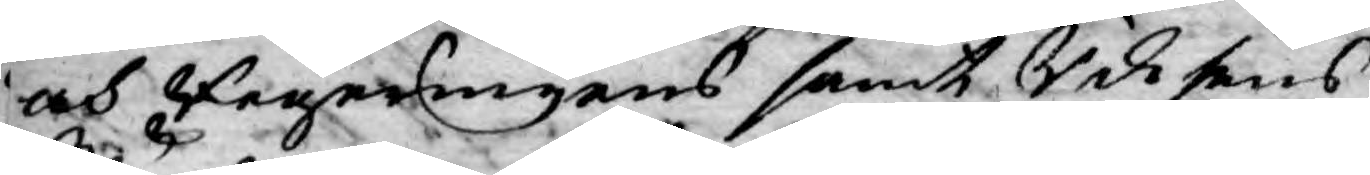och Regeringens samt Riksens
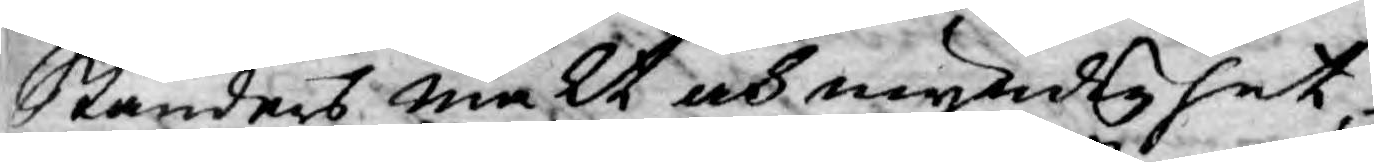Ständers makt och myndighet
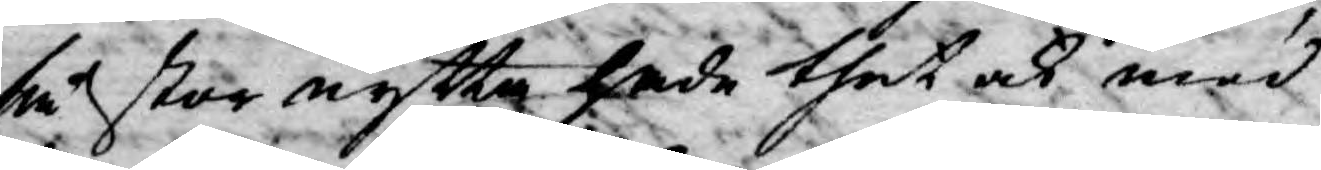så stor nytta hade thet ock med
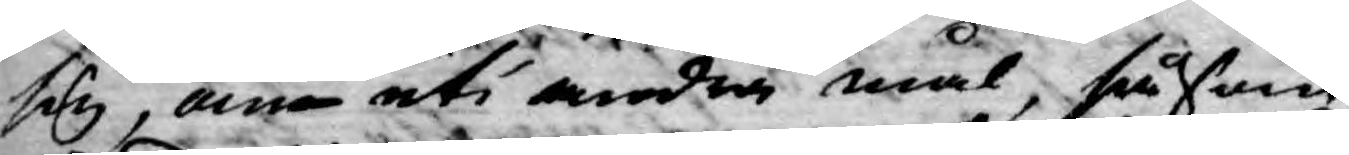sig, om uti andra mål, såsom
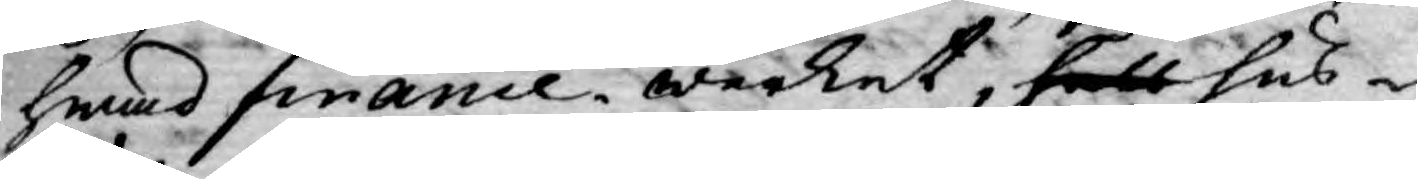hwad finance werket, håll hus¬
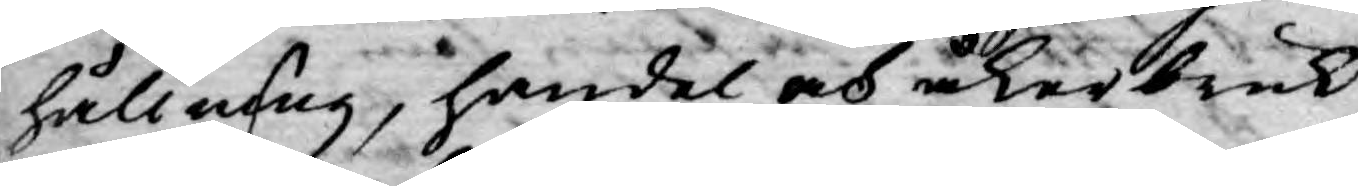hållning, handel och åkerbruk
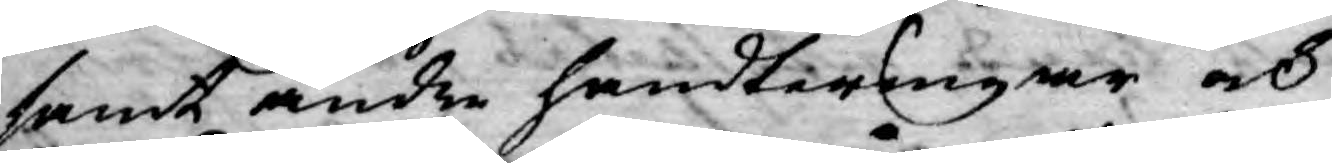samt andre handteringar och
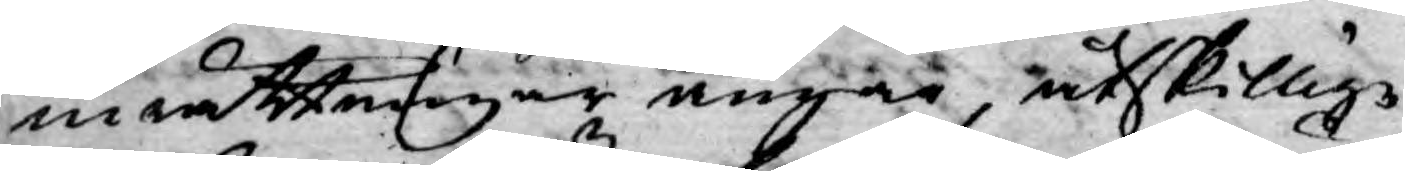inrättningar angår, åtskillige
